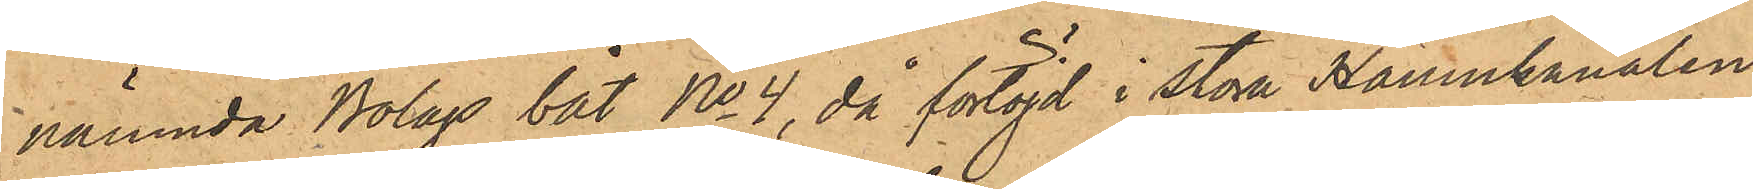nämnda Bolags båt No 4, då förtöjd i Stora Hamnkanalen
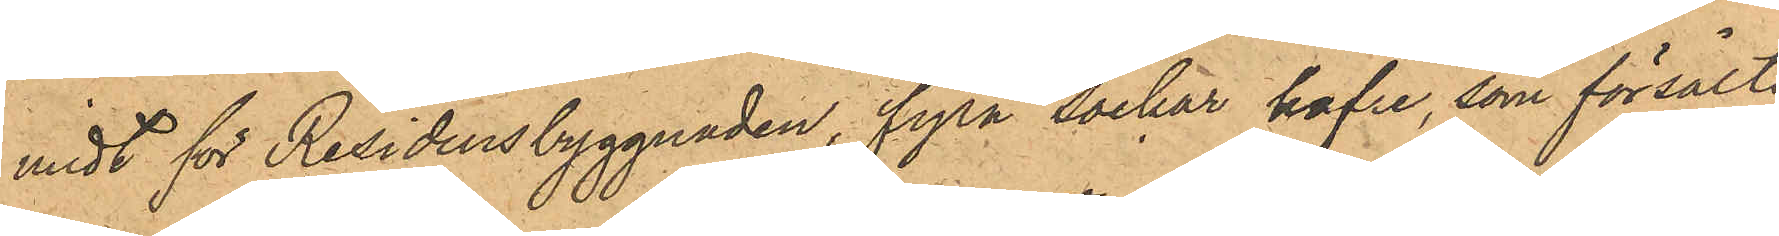midt för Residensbyggnaden, fyra säckar hafre, som försålts
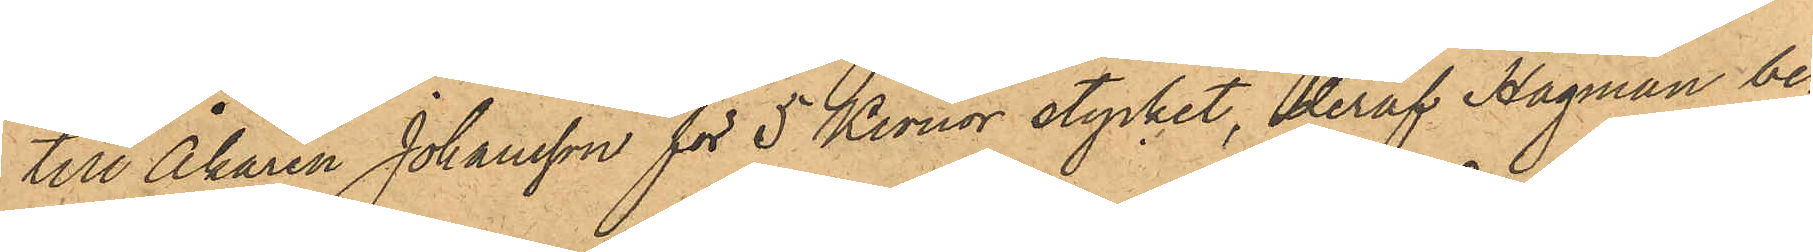till Åkaren Johansson för 5 Kronor stycket, deraf Hagman be¬
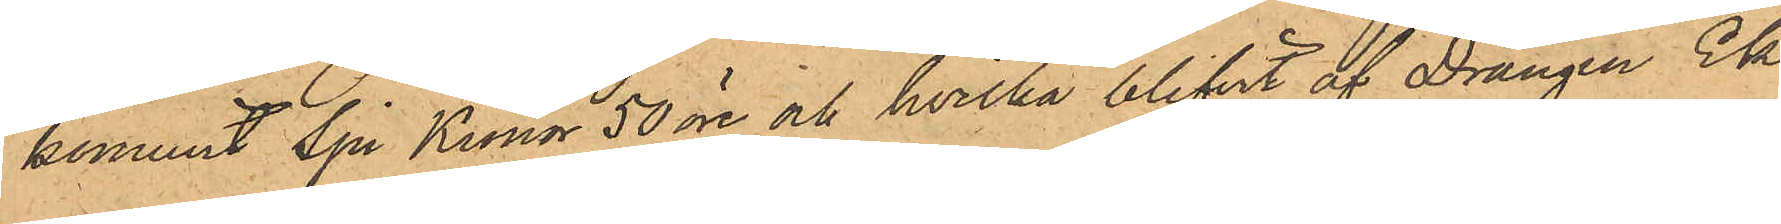kommit Sju Kronor 50 öre och hvilka blifvit af Drängen Ek
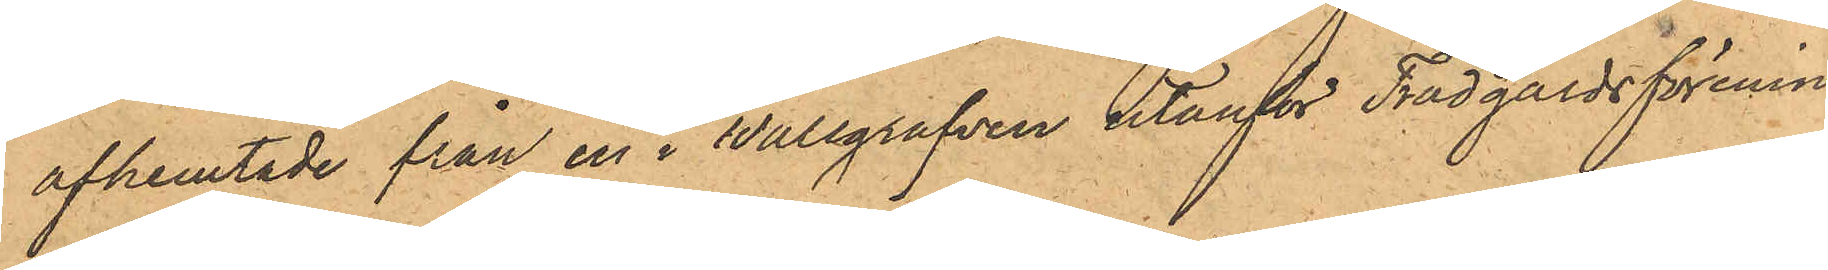afhemtade från en i Wallgrafven utanför Trädgårdsförenin¬
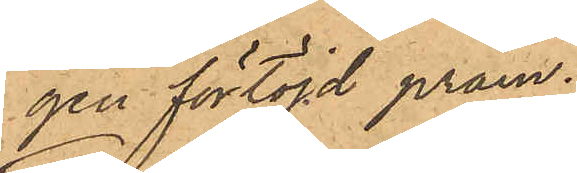gen förtöjd pråm;
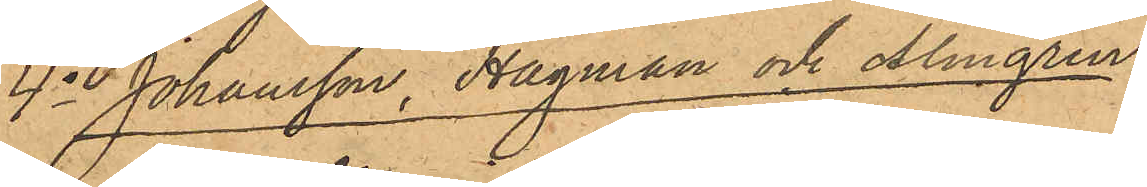4o Johansson, Hagman och Almgren:
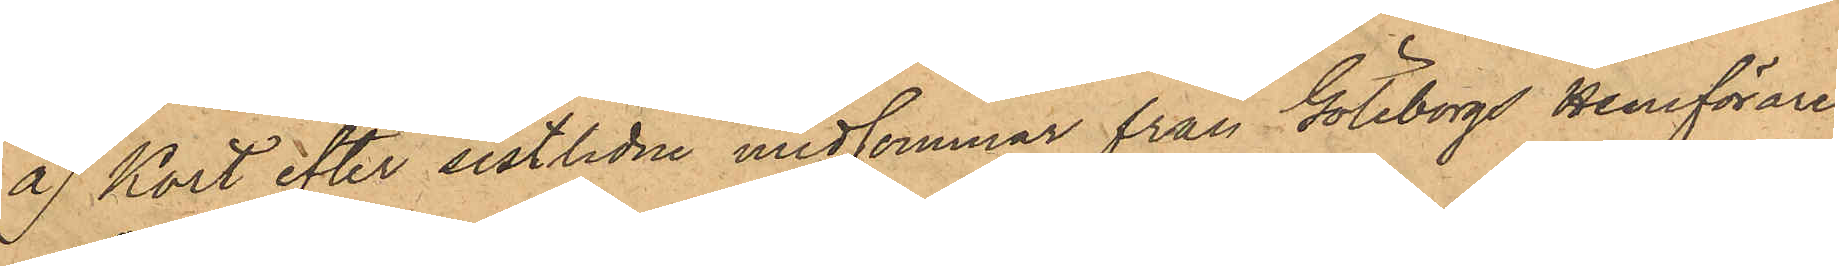a) Kort efter sistlidne midsommar från Göteborgs Hemförare¬
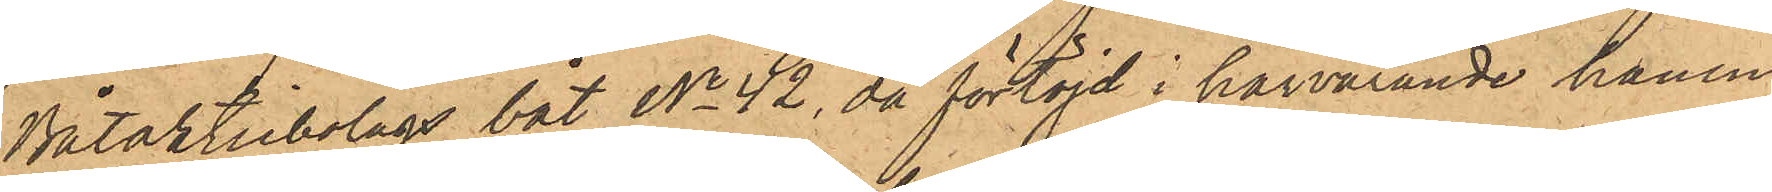Båtaktiebolags båt No 42, då förtöjd i härvarande hamn
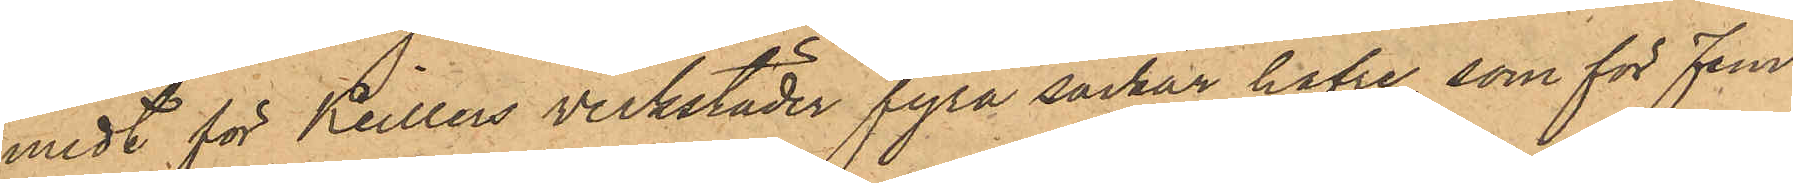midt för Keillers verkstäder fyra säckar hafre som för Fem
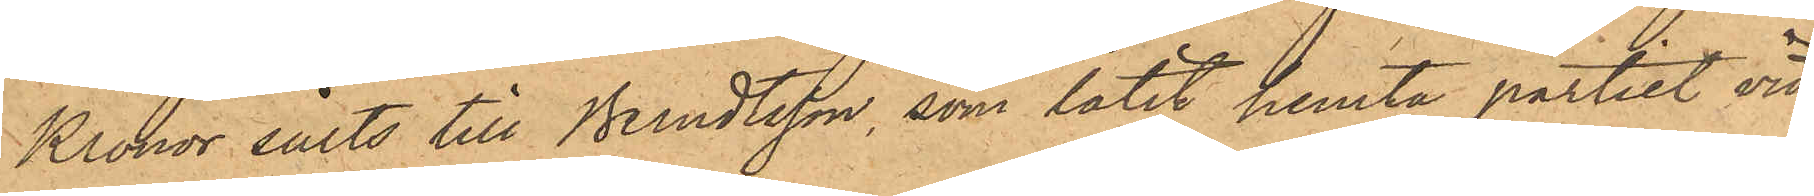Kronor sålts till Berndtsson, som låtit hemta partiet vid
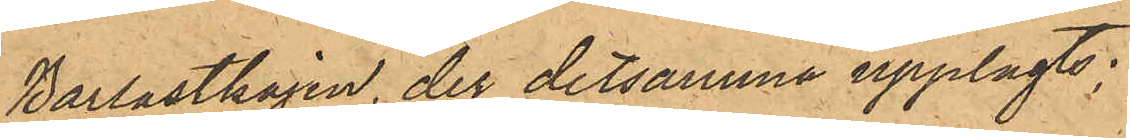Barlastkajen, der detsamma upplagts;
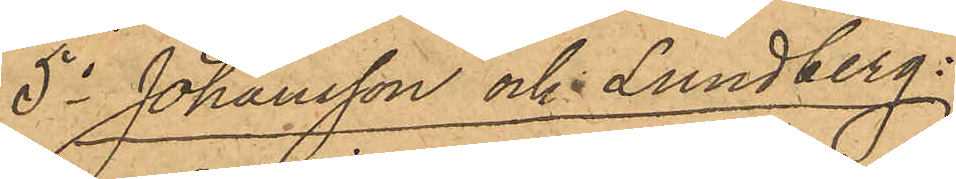5o Johansson och Lundberg:
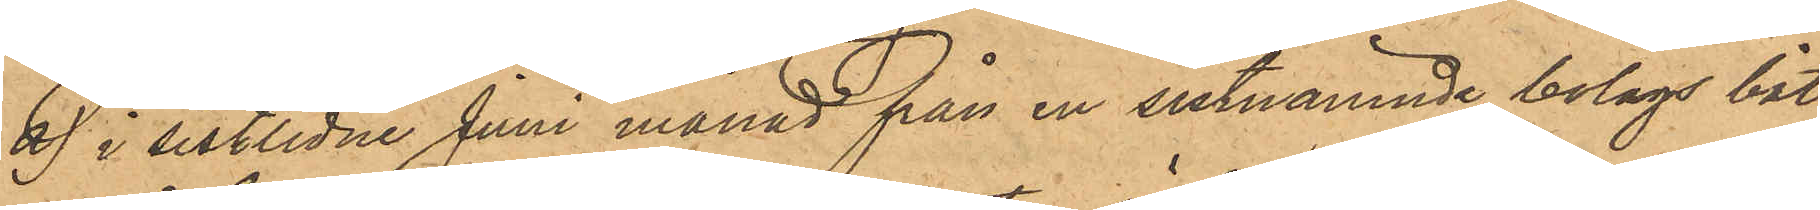a) i sistlidne Juni månad från en sistnämnde bolags båt,
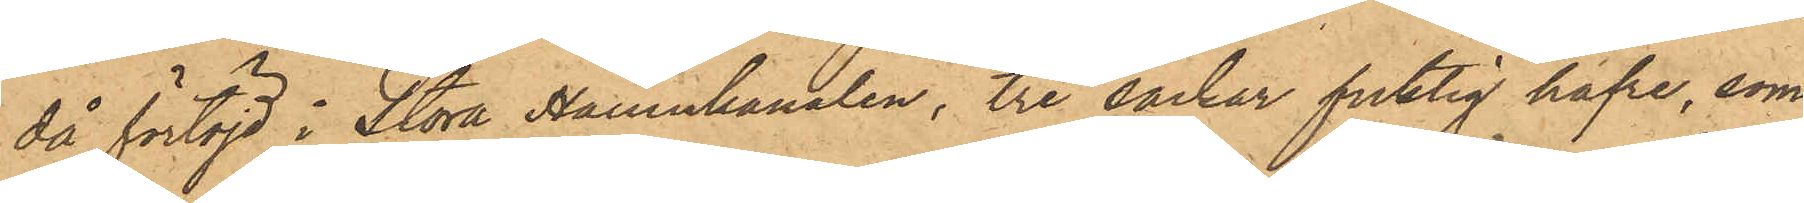då förtöjd i Stora Hamnkanalen, tre säckar fuktig hafre, som
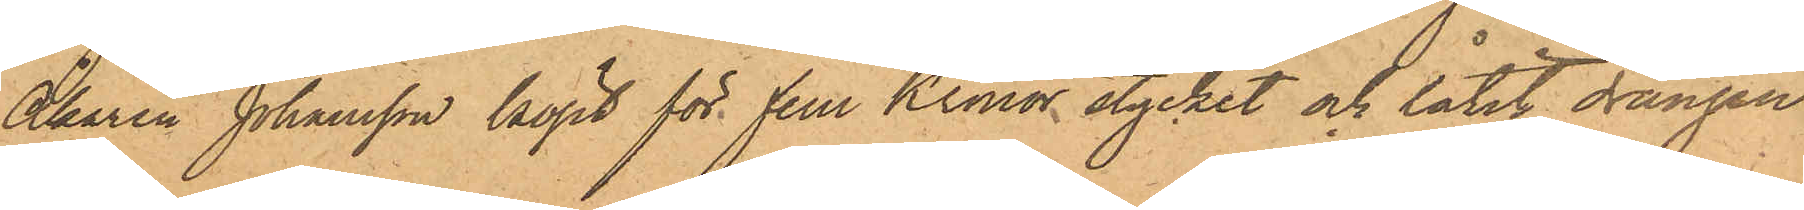Åkaren Johansson köpt för fem Kronor stycket och låtit drängen
